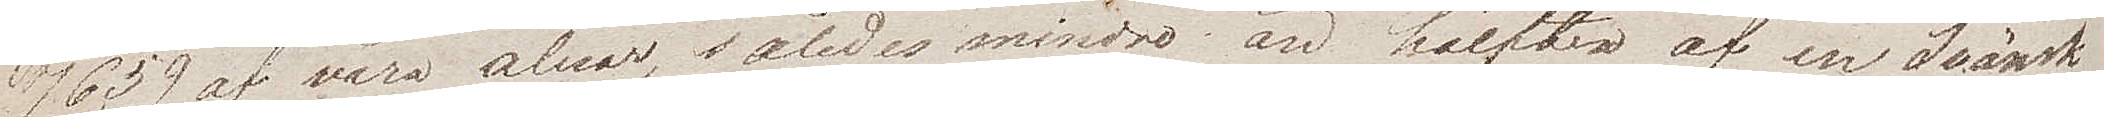7659 af våra alnar, således mindre än hälften af en Svänsk
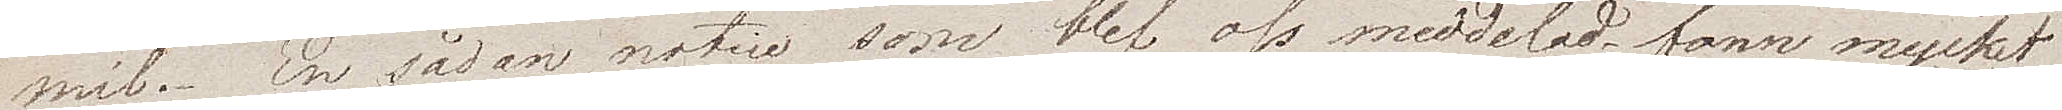mil. En sådan notice som blef oss meddelad fann mycket
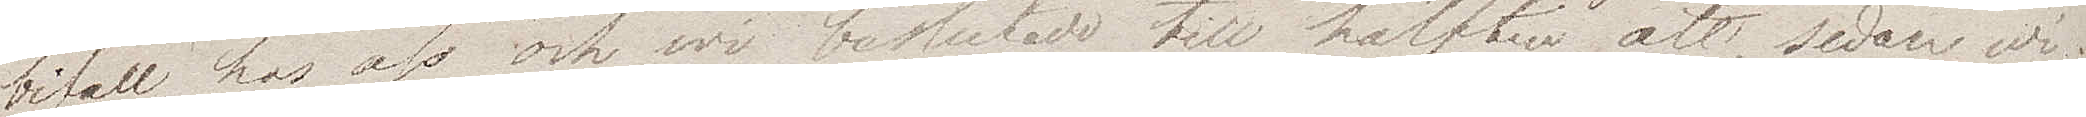bifall hos oss och vi beslutade till hälften att, sedan wi
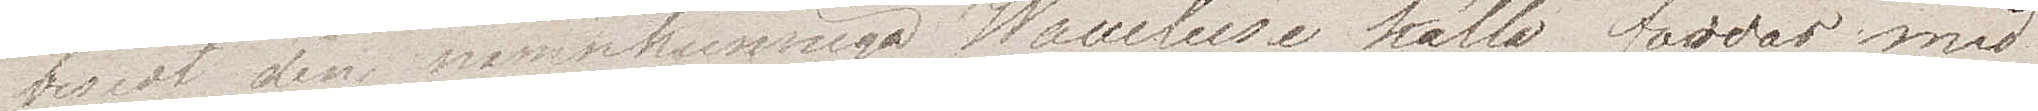besedt den namnkunnige Waucluse källa färdas med
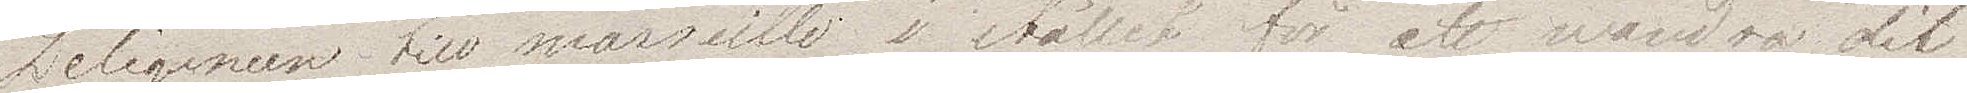Diligencen till Marseille i stället för att vandra dit
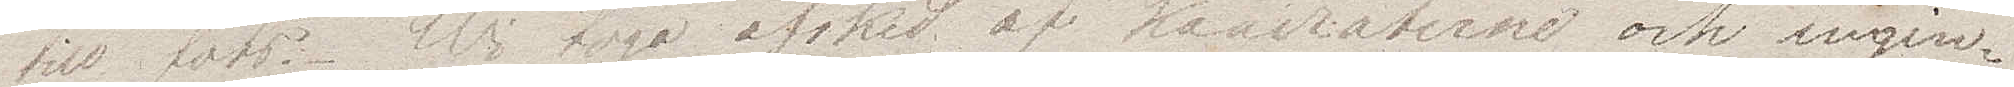till fots. Wi togo afsked af kamraterna och ingin¬
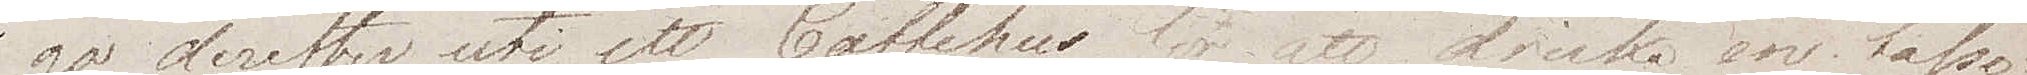go derefter uti ett Caffehus för att dricka en tasse.
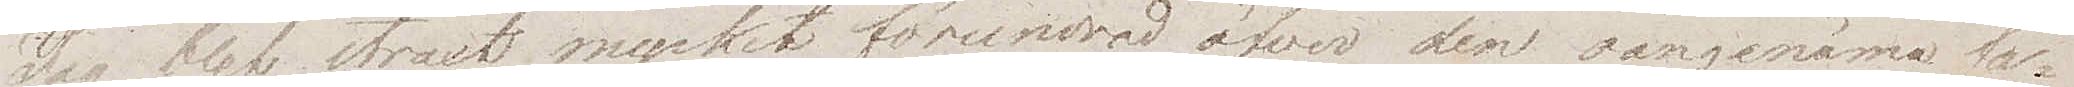Jag blev straxt mycket förundrad öfver den oangenäma fa¬
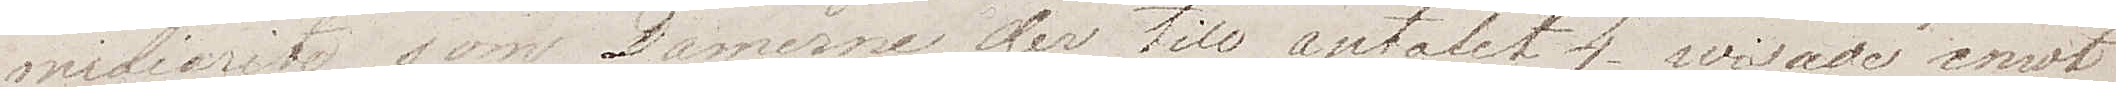miliarite som Damerna der till antalet 4 wisade emot
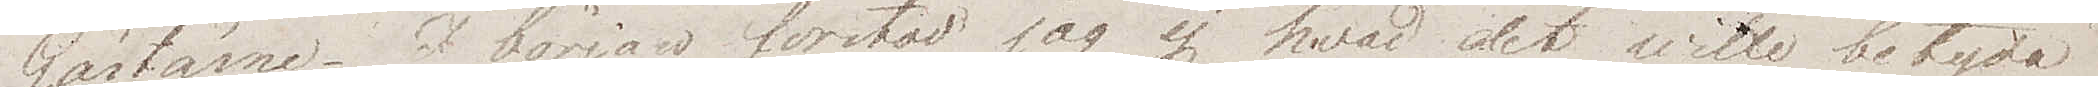Gästerna. I början förstod jag ej hvad det wille betyda
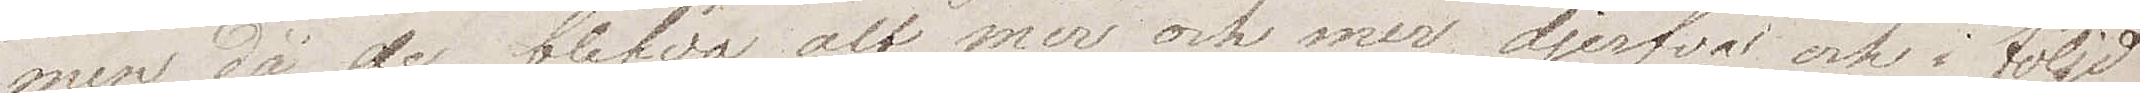men då de blefvo allt mer och mer djerfva ock i följd
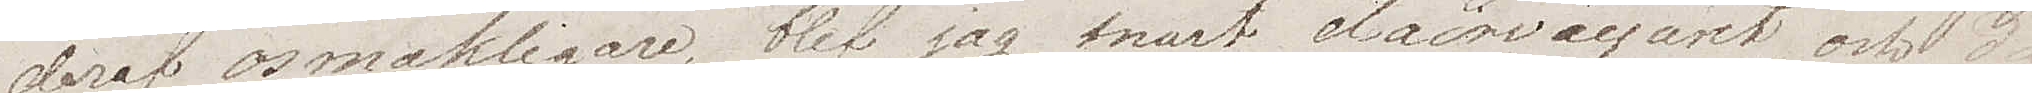deraf osmakligare, blef jag snart clairvoyant, och då
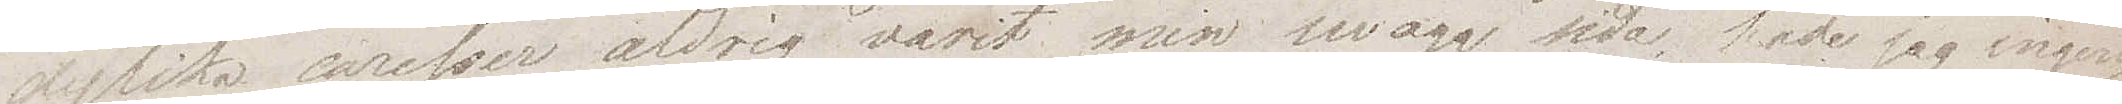dylika caresser aldrig varit min swaga sida hade jag ingen¬
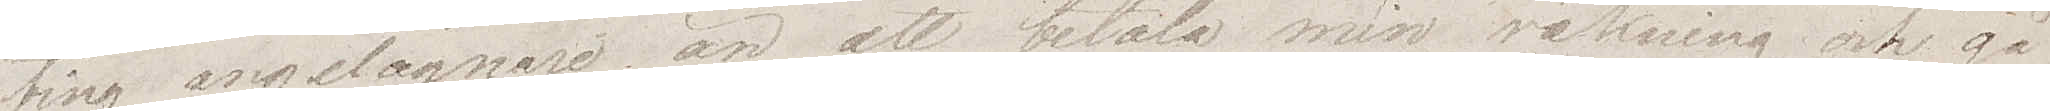ting angelägnare än att betala min räkning och gå
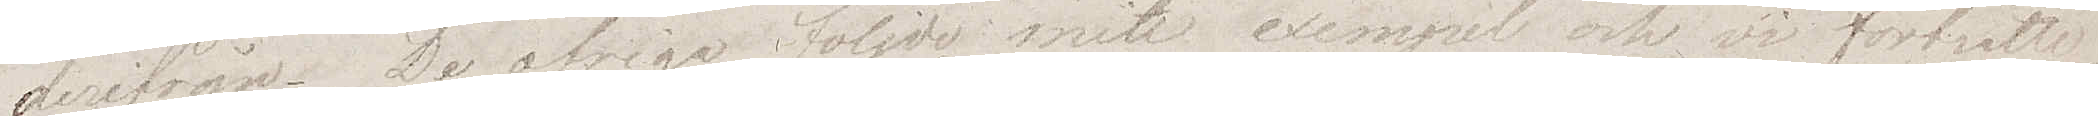derifrån. De öfriga följde mitt exempel och vi fortsatte
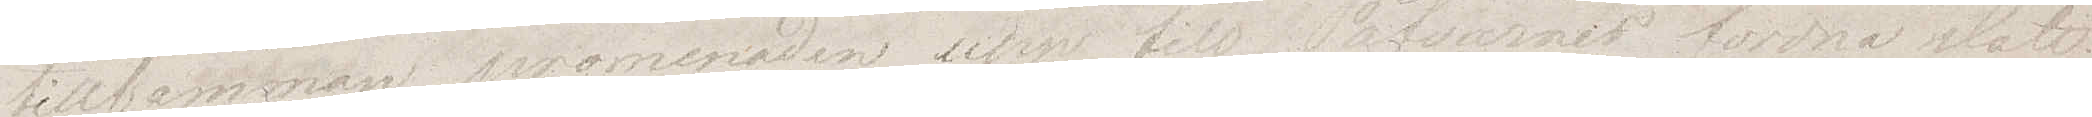tillsammans promenaden upp till Påfvarnas fordna slott.
